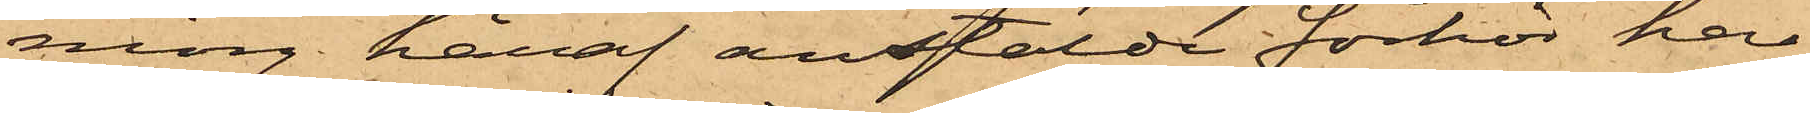ning häraf anstälde förhör har
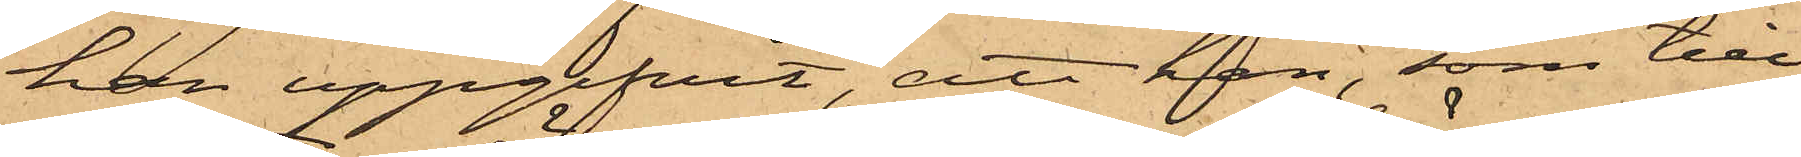han uppgifvit, att han, som till¬
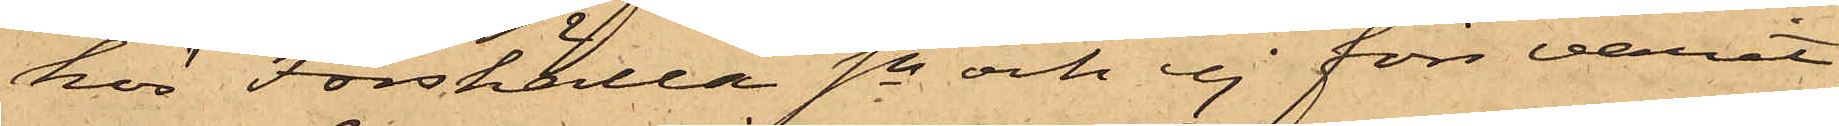hör Forshälla Sn och ej förr varit
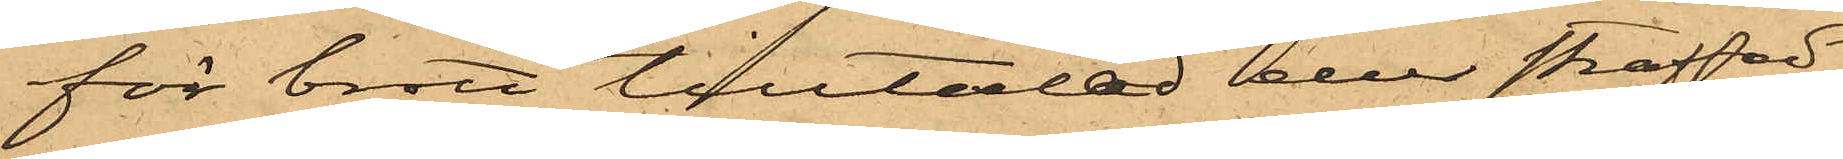för brott tilltalad eller straffad,
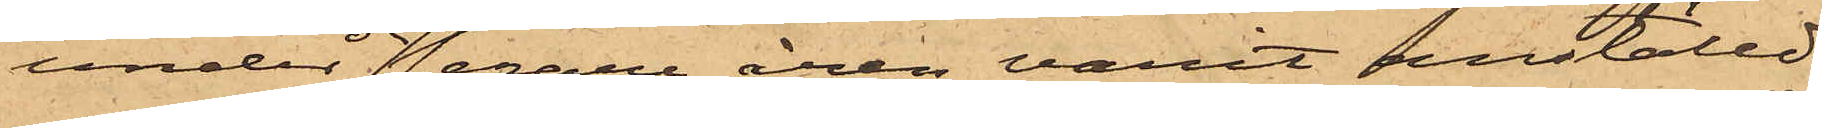under de senare åren varit anställd
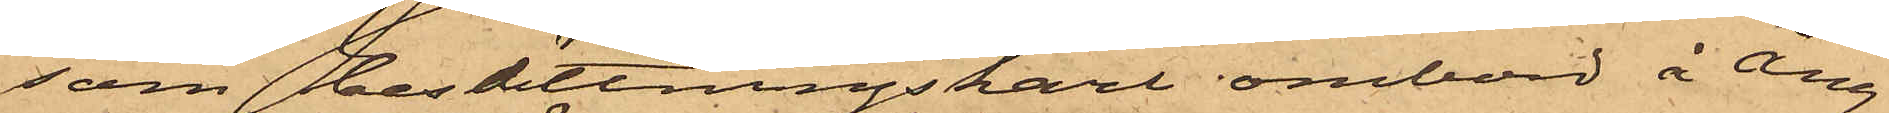som besättningskarl ombord å Ång¬
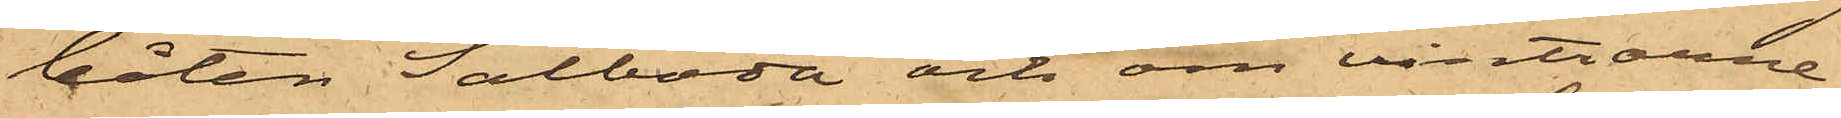båten Sälboda och om vintrarne
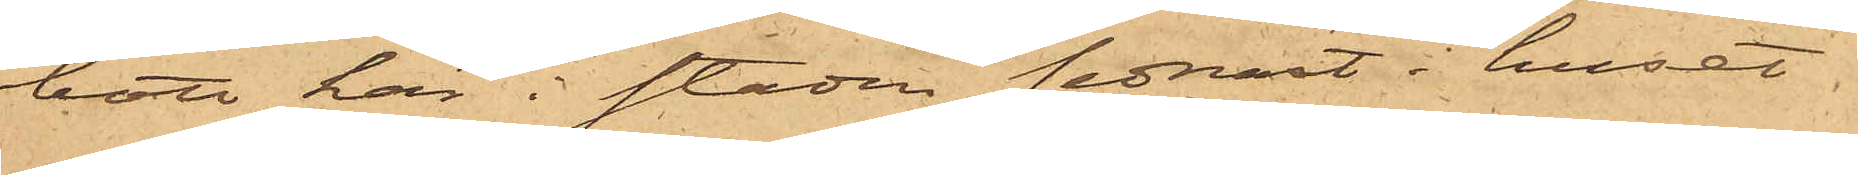bott här i staden sednast i huset
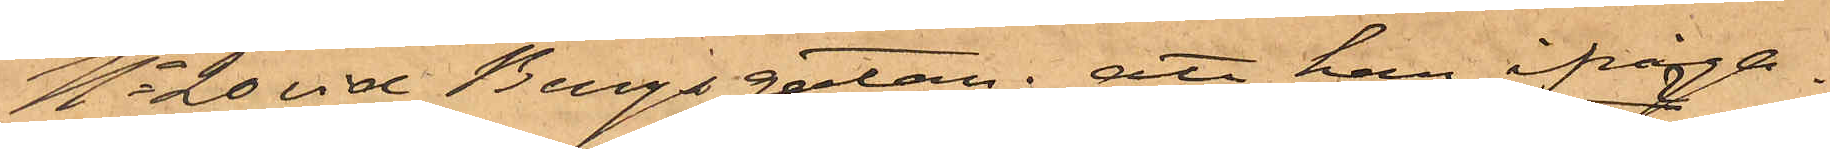No 20 vid Bergsgatan; att han ifråga¬
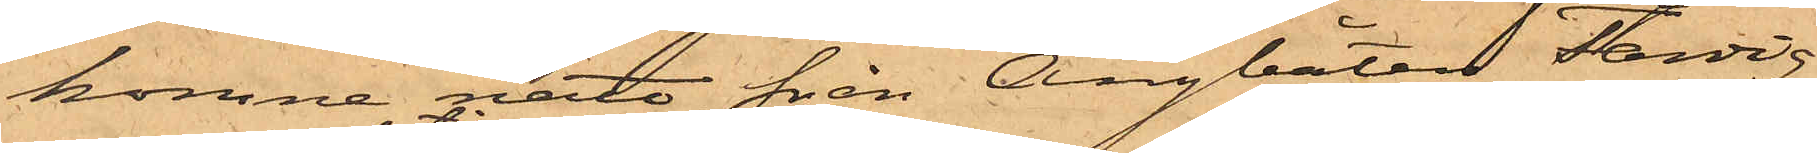komne natt från Ångbåten Färdig
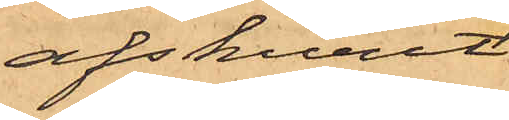afskurit
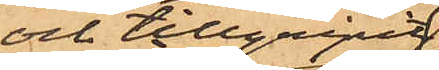och tillgripit
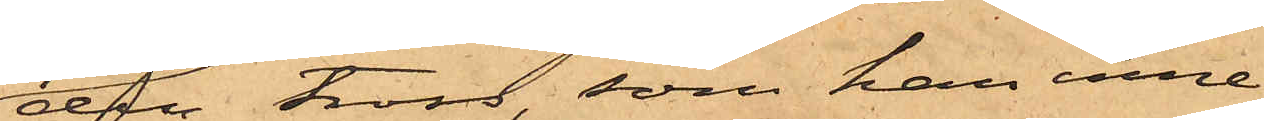den tross, som han inne¬
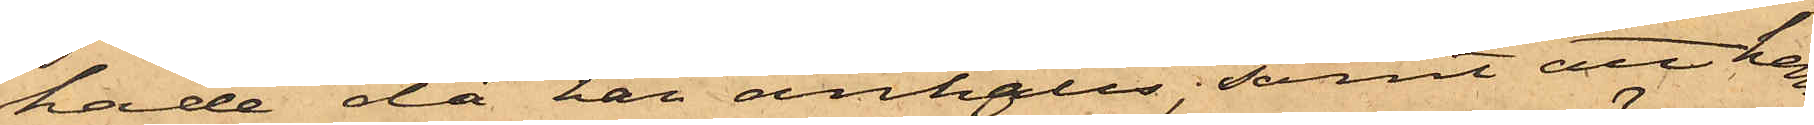hade då han anhölls; samt att han
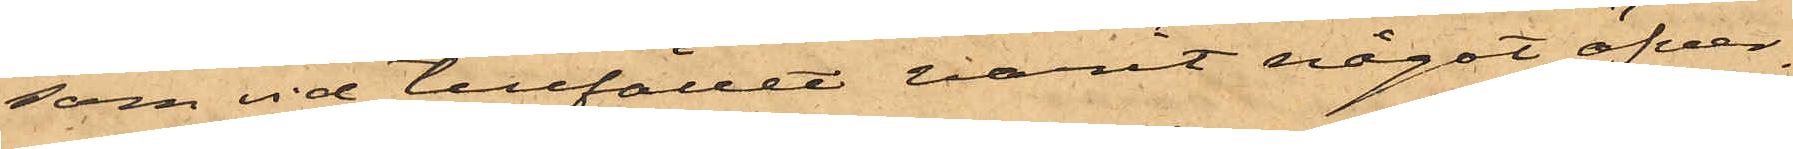som vid tillfället varit något öfver¬
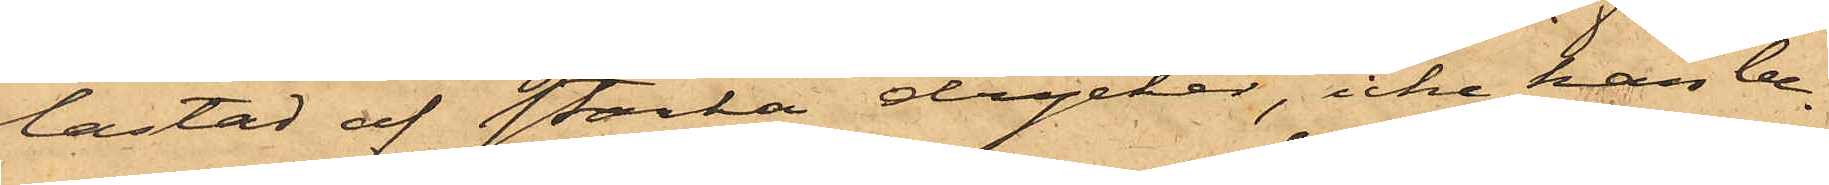lastad af starka drycker, icke kan be¬
